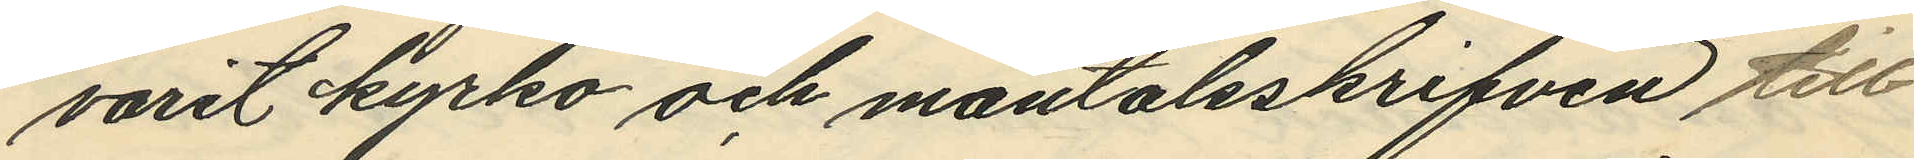varit kyrko och mantalsskrifven till
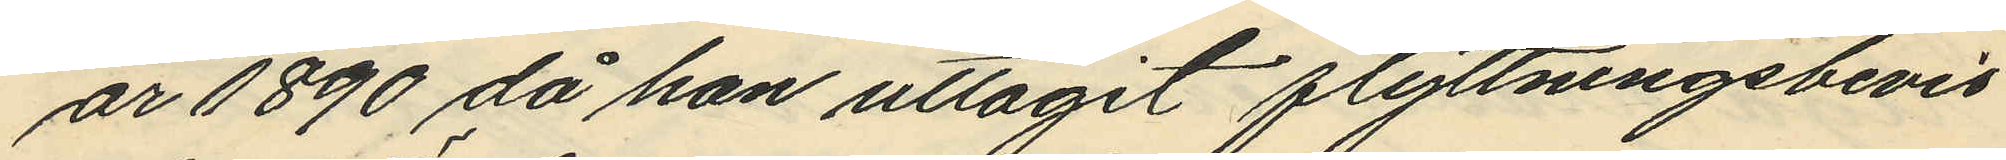år 1890 då han uttagit flyttningsbevis
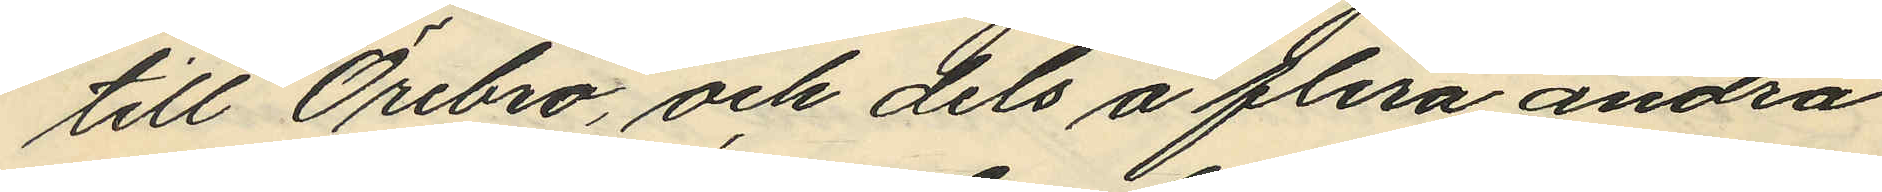till Örebro, och dels å flera andra
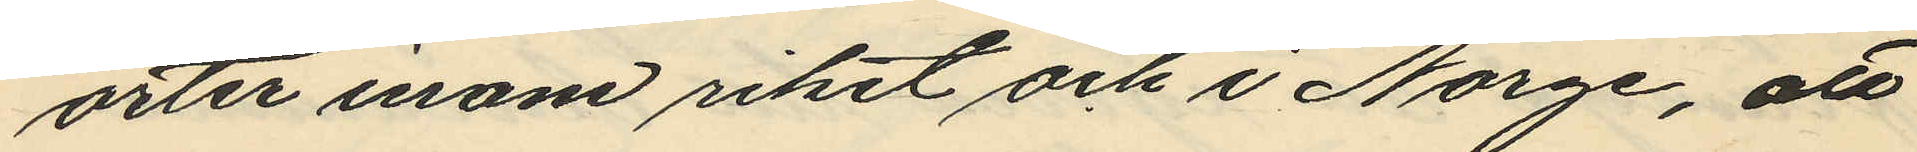orter inom riket och i Norge, att
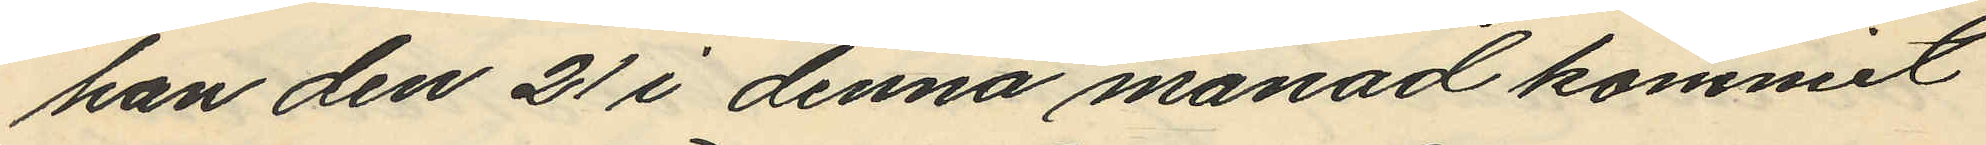han den 21 i denna månad kommit
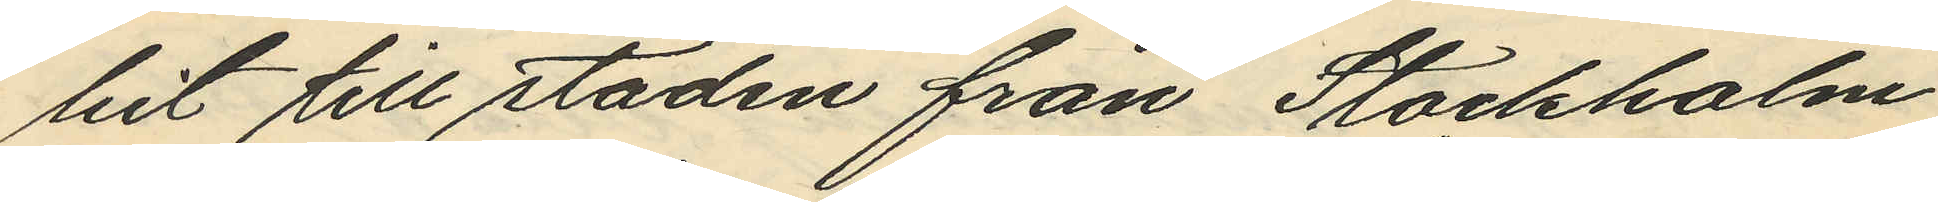hit till staden från Stockholm
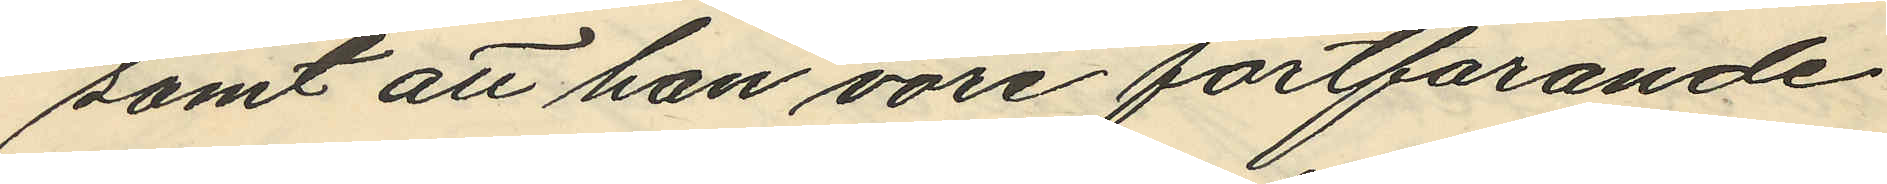samt att han vore fortfarande
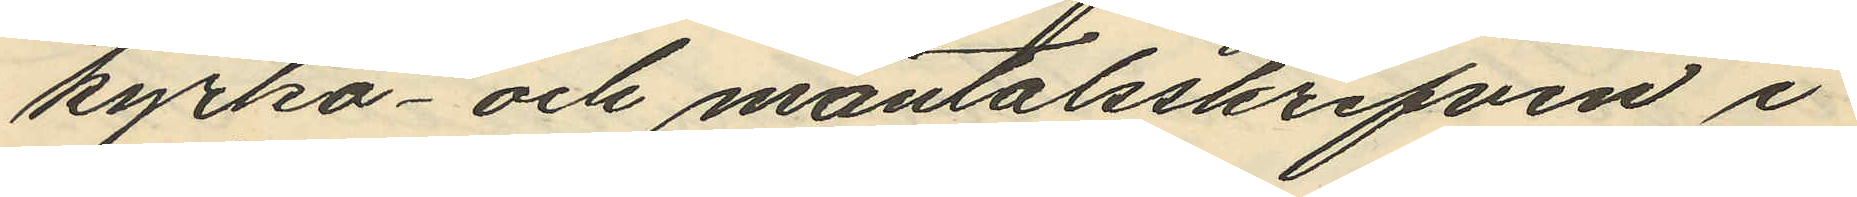kyrko- och mantalsskrifven i
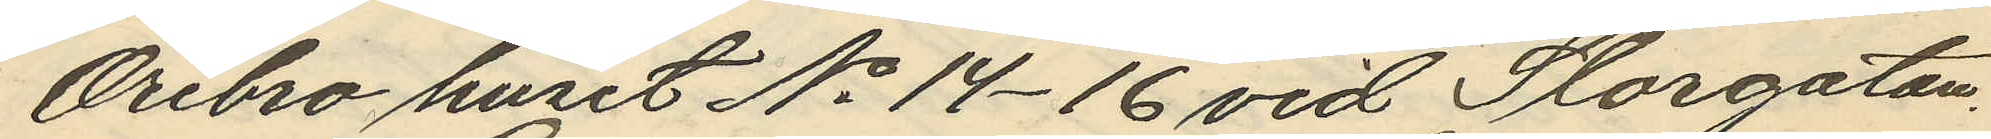Örebro huset No 14 -16 vid Storgatan.
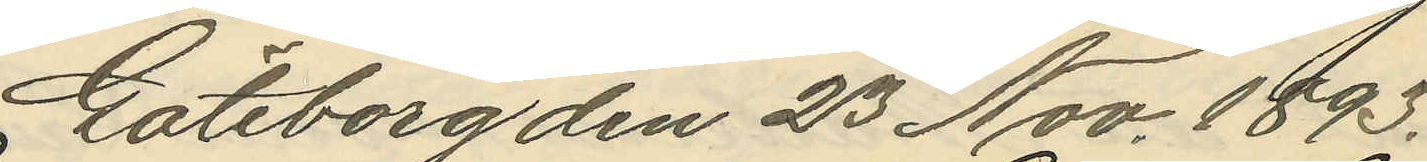Göteborg den 23 Nov. 1893.
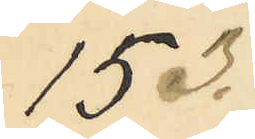153.
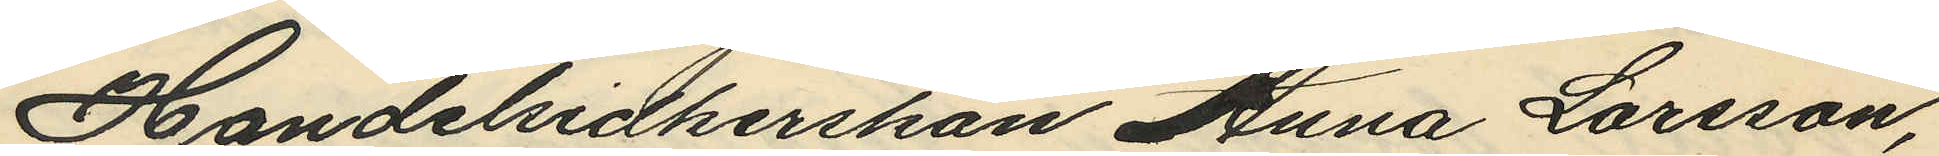Handelsidkerskan Anna Larsson,
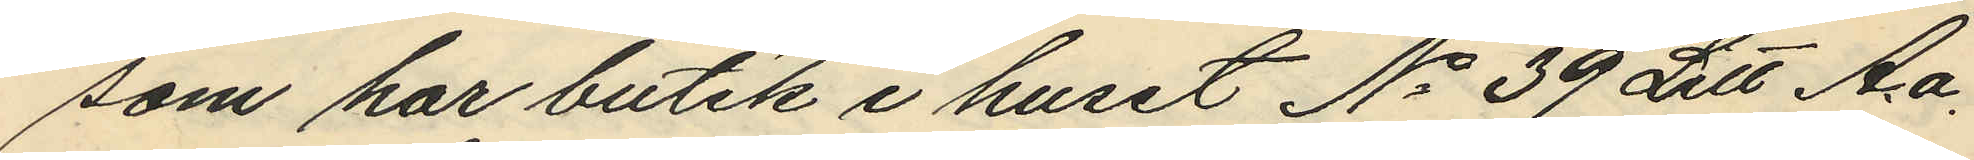som har butik i huset No 39 Litt Aa.
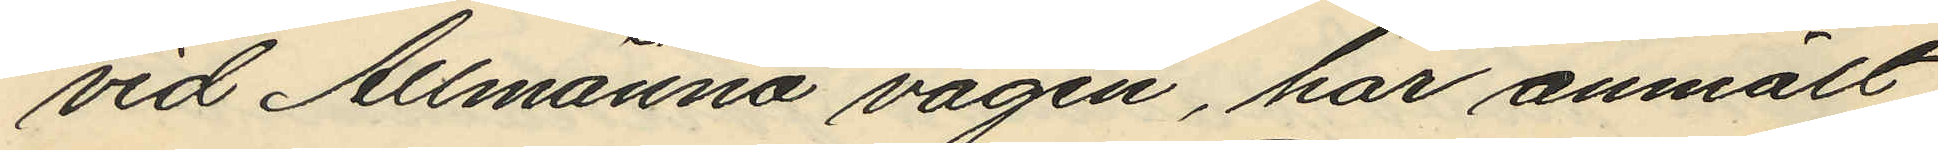vid Allmänna vägen, har anmält
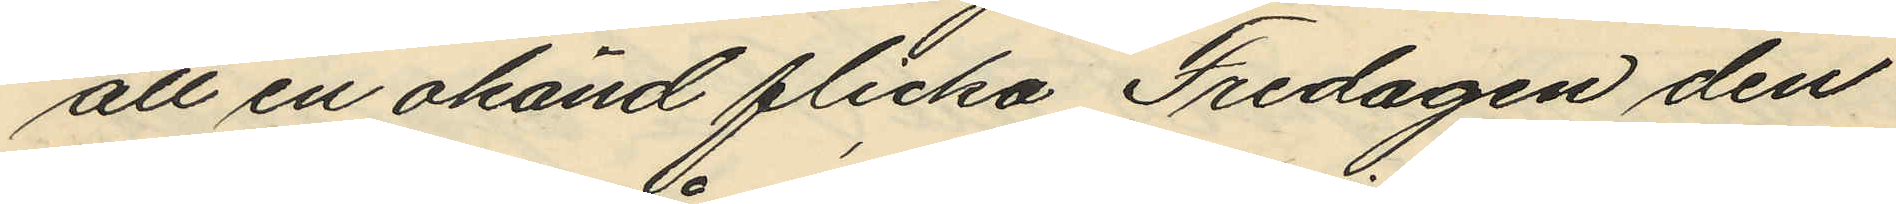att en okänd flicka Fredagen den
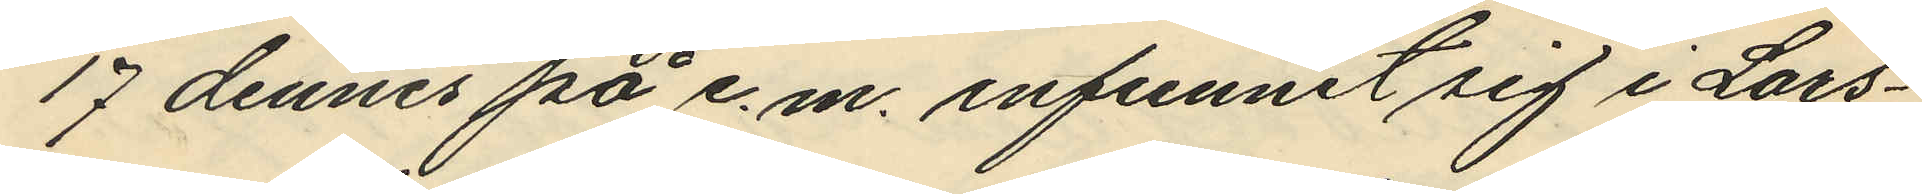17 dennes på e.m. infunnit sig i Lars¬
